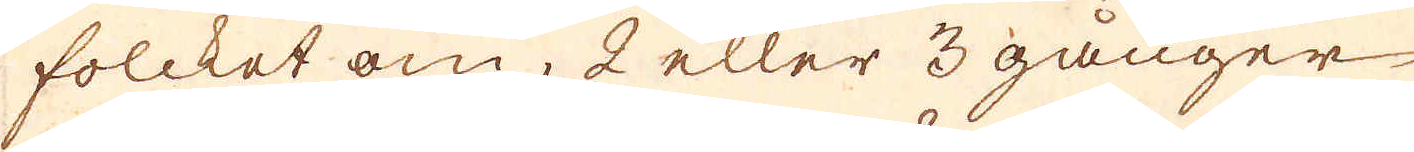folcket om, 2 eller 3 gånger
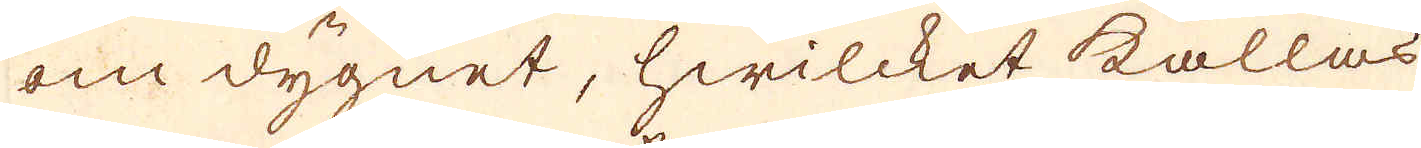om dygnet, hwilcket kallas
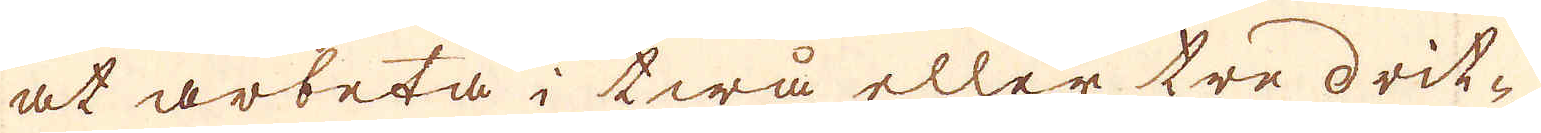at arbeta i twå eller tre drit-
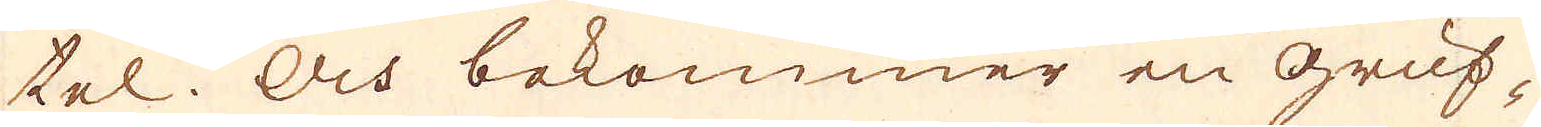tel. Och bekommer en Gruf-
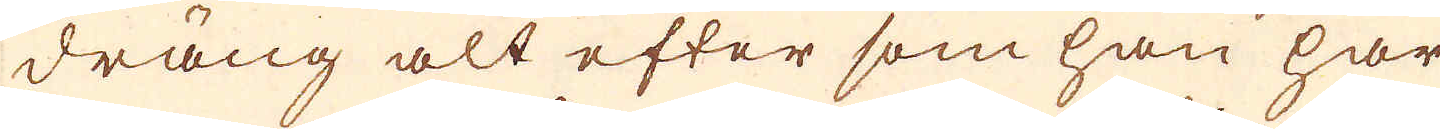dräng alt efter som han har
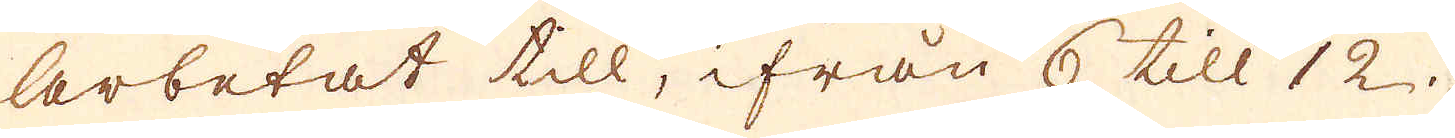arbetat till, ifrån 6 till 12
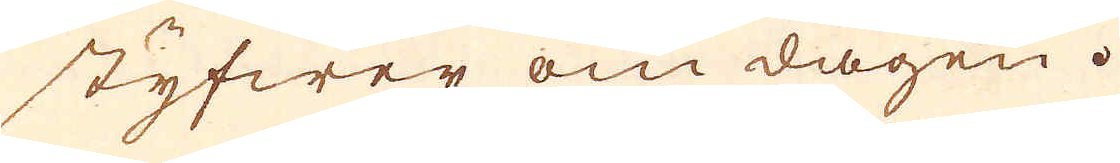styfwer om dagen.
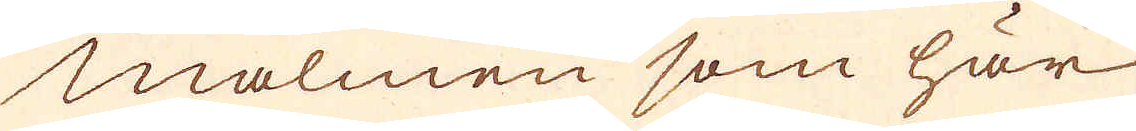Malmen som här
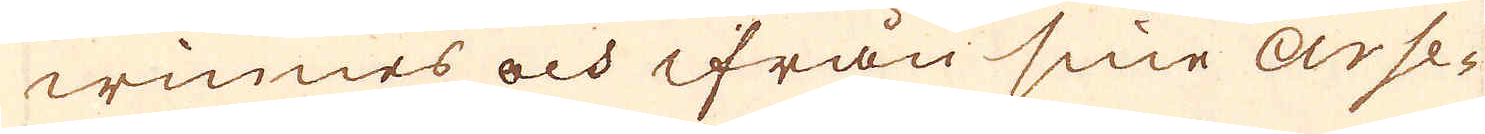winnes och ifrån sine Arse-
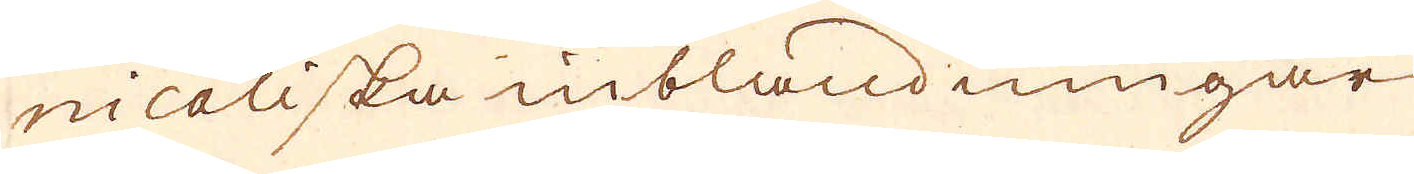nicaliska inblandningar
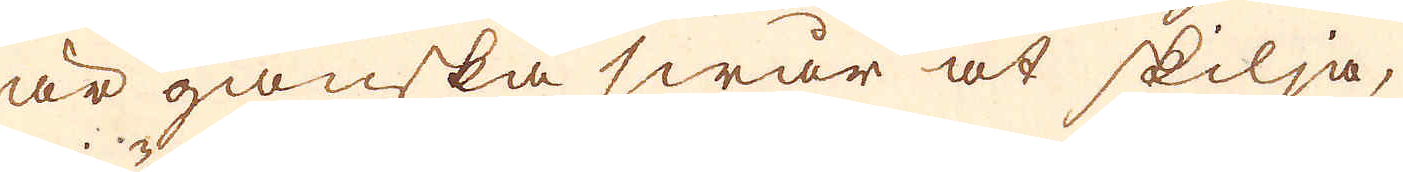är ganska swår at skilja,
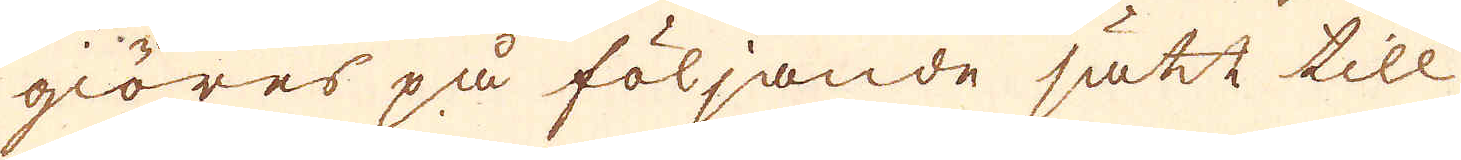giöres på följande sätt till
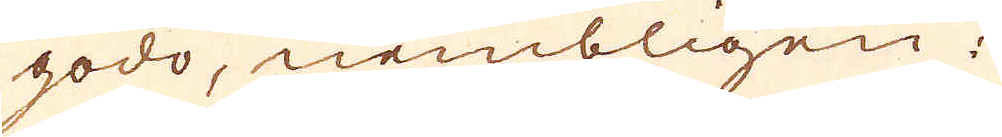godo, nembligen:
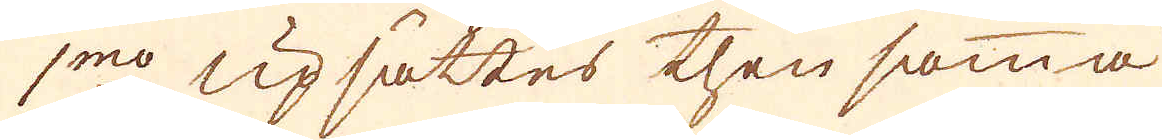1:mo uppsättes then samma
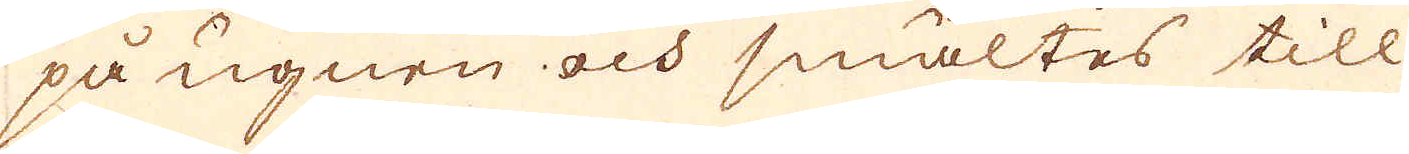på ugnen och smältes till
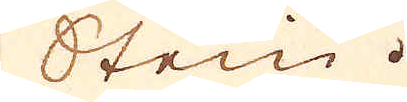Stein.
